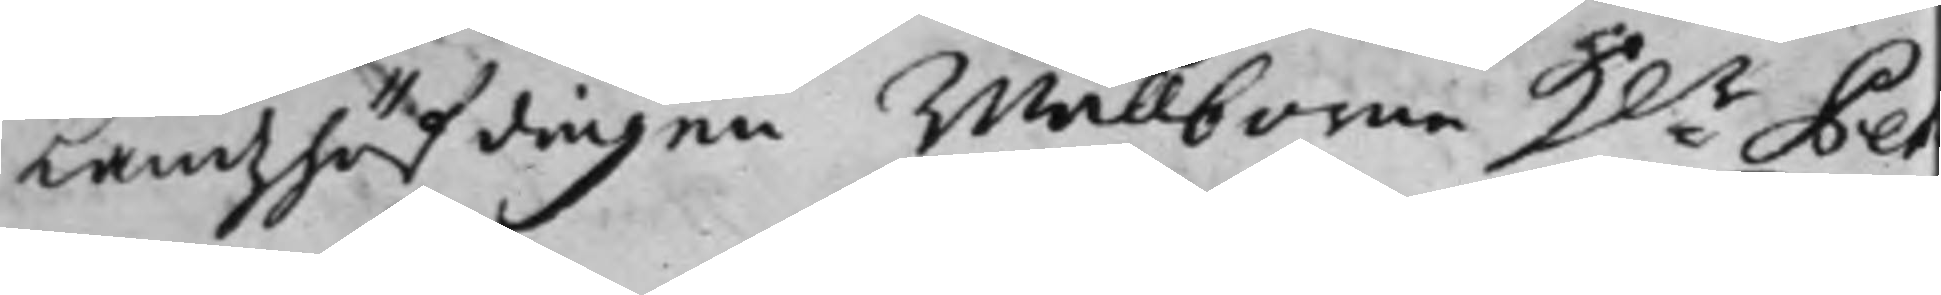Landzhöfdingen Wällborne H:r Pet¬
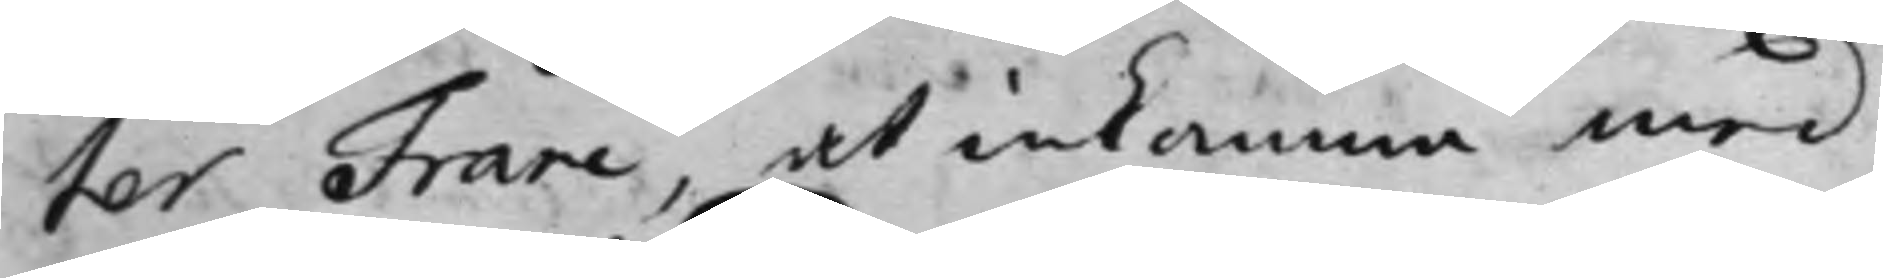ter Franc. at inkomma med
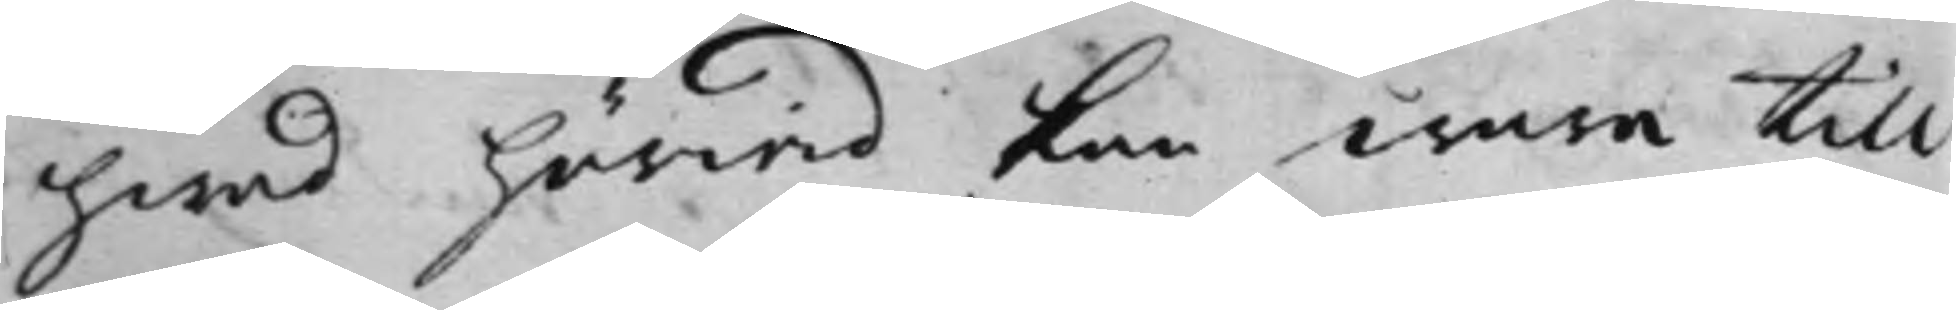hwad härwid kan wara till
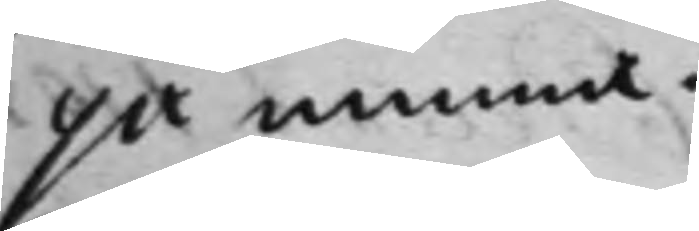påminna.
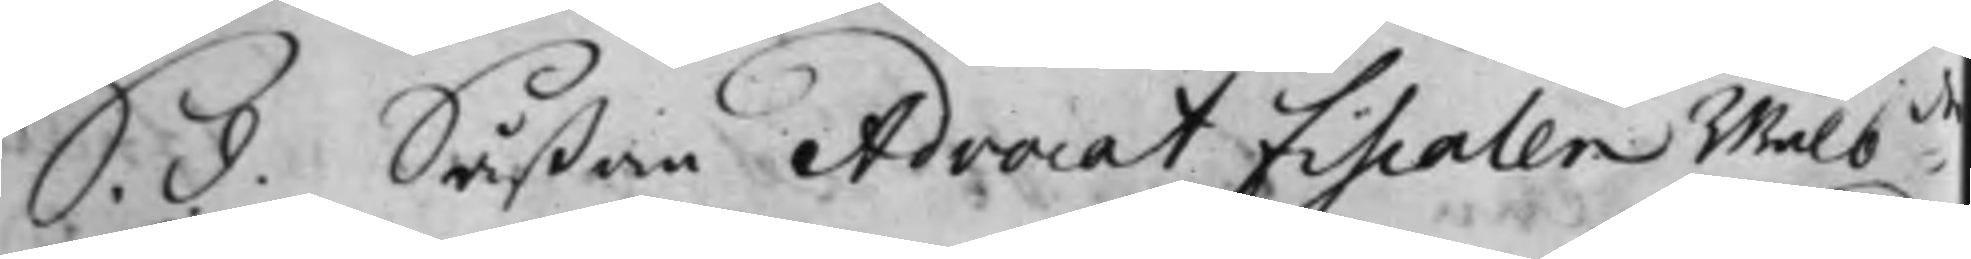S. d. Såßom Advocat Fiscalen Wälb:de
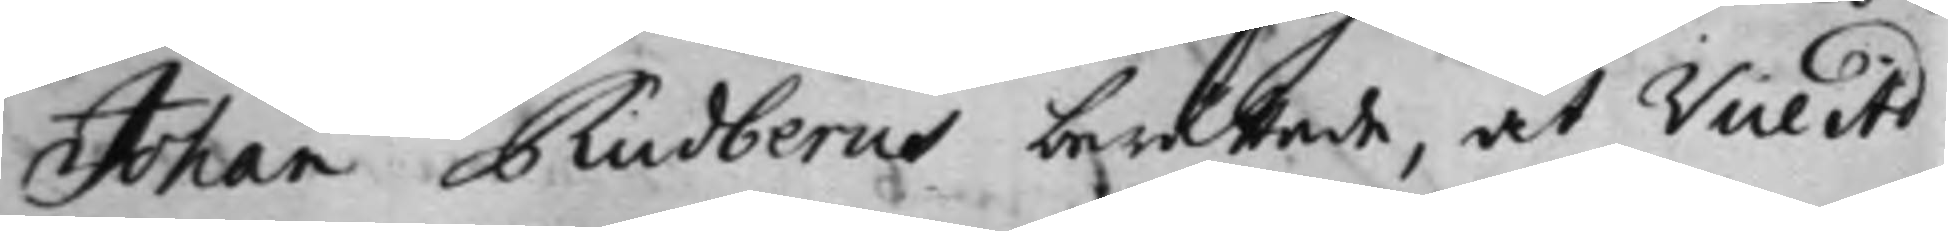Johan Rudberns berättade, at Vice Ad¬
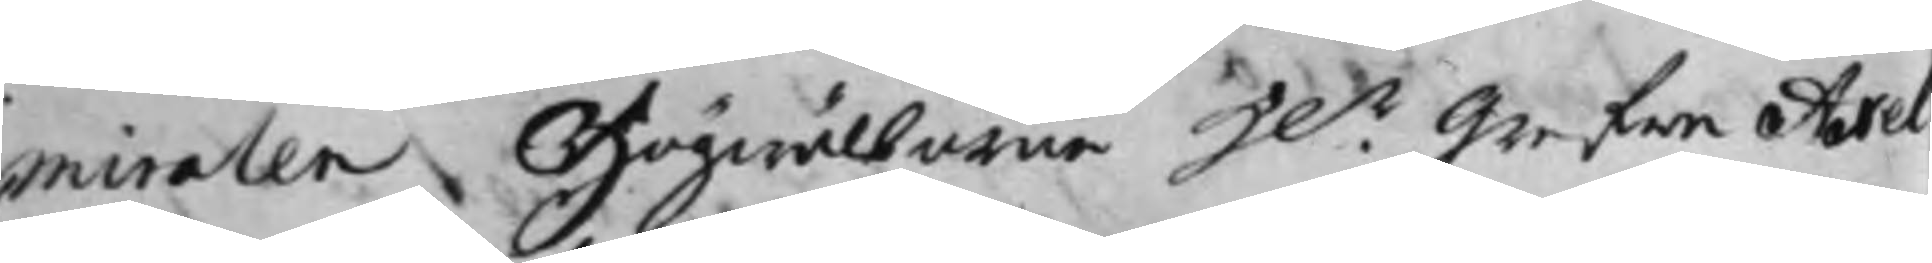miralen Högwälborne H.r Grefwe Axel
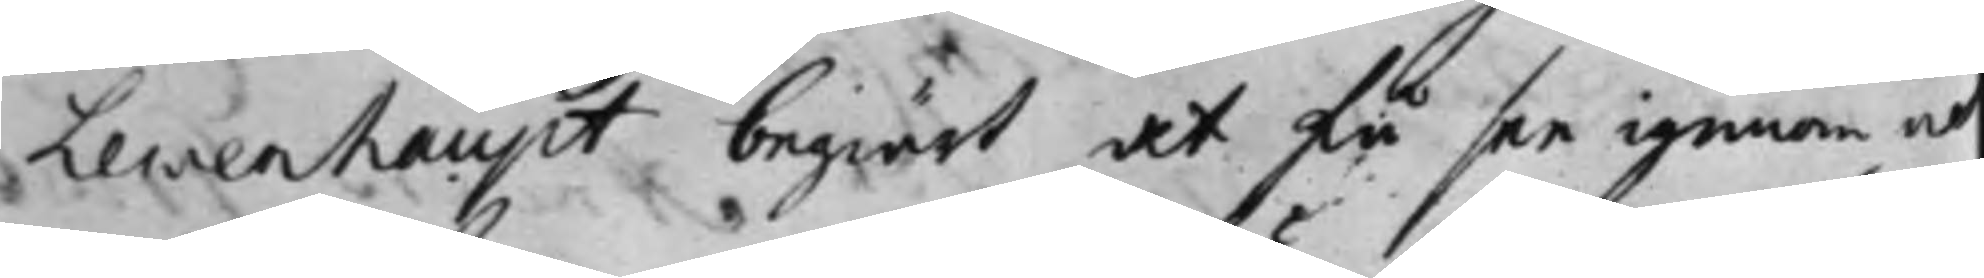Lewenhaupt begiärt at få see igenom och
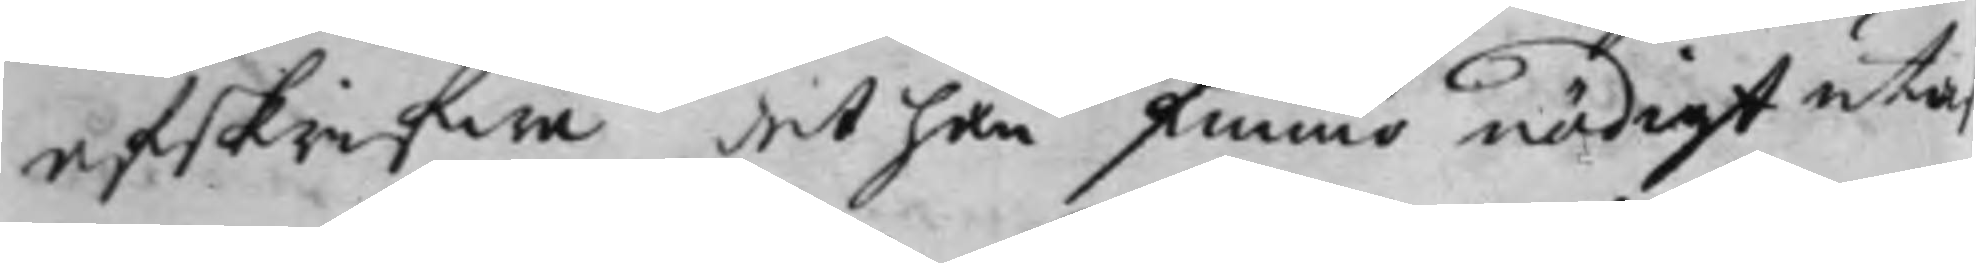afskrifwa det han funno nödigt uta
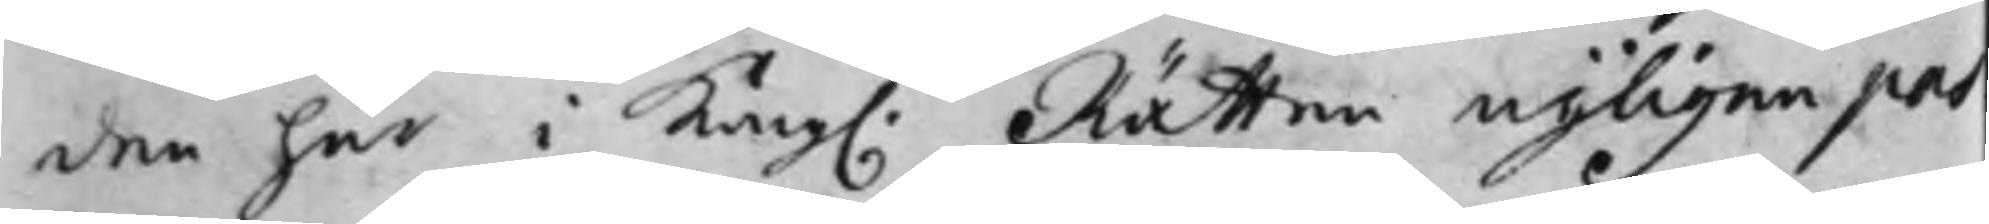den här i Kong. Rätten nyligen pas¬
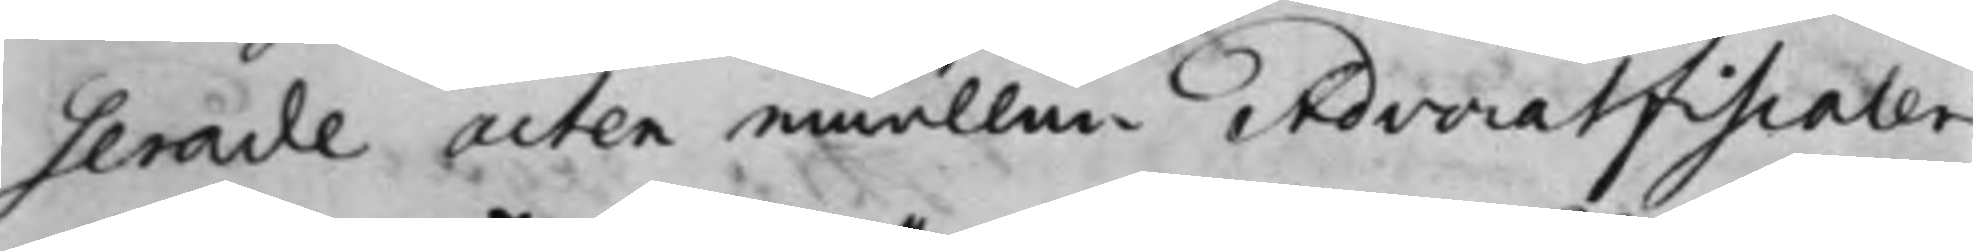serade acten emällan Advocatfiscalen
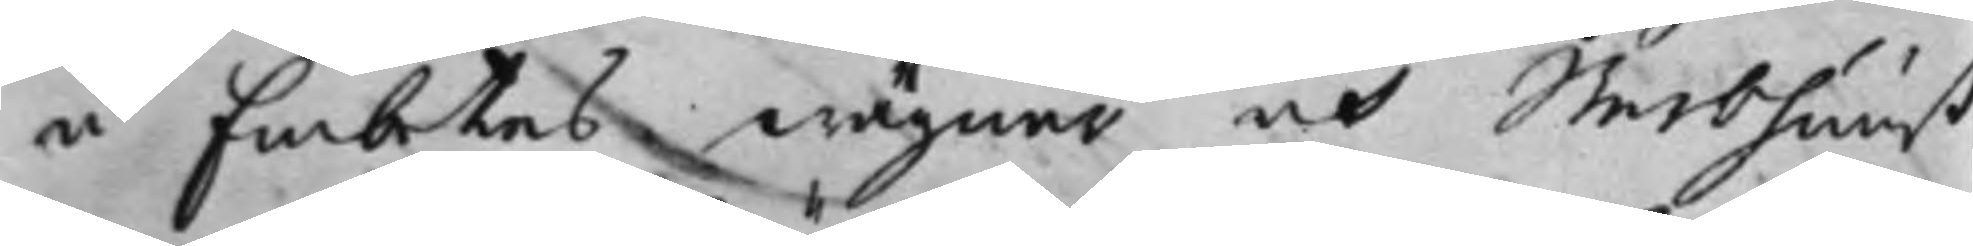å Embetes wägnar och Sterbhuuß
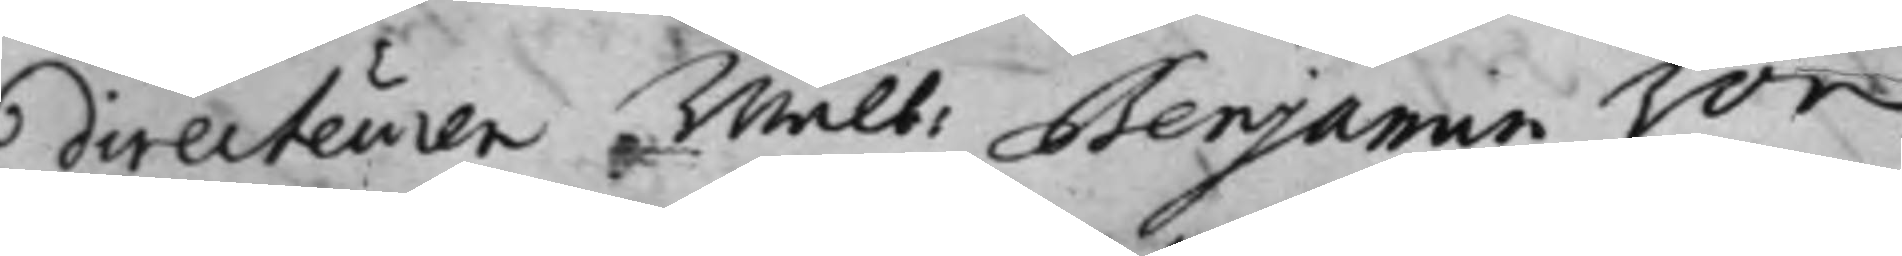directeuren Wälb: Benjamin Von
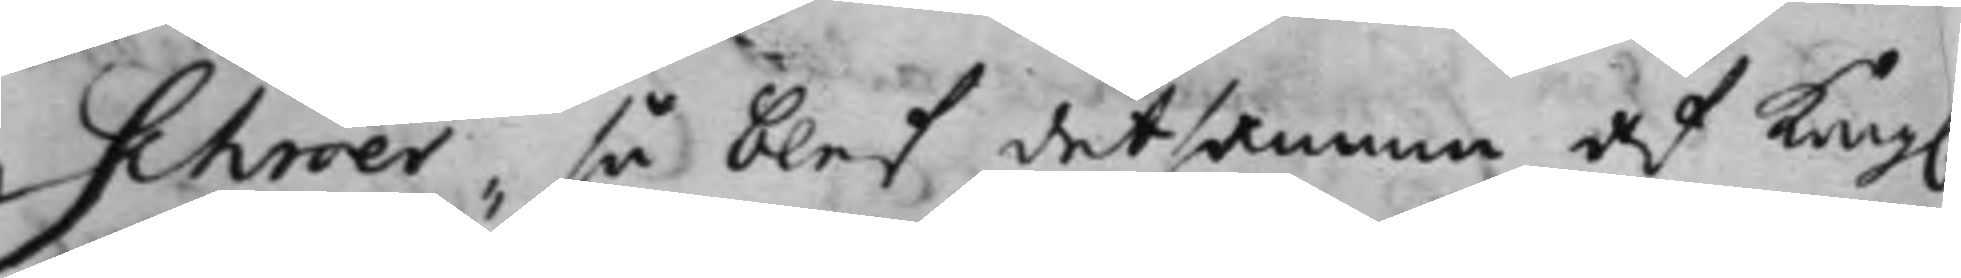Schröer, så blef detsamma af Kong.
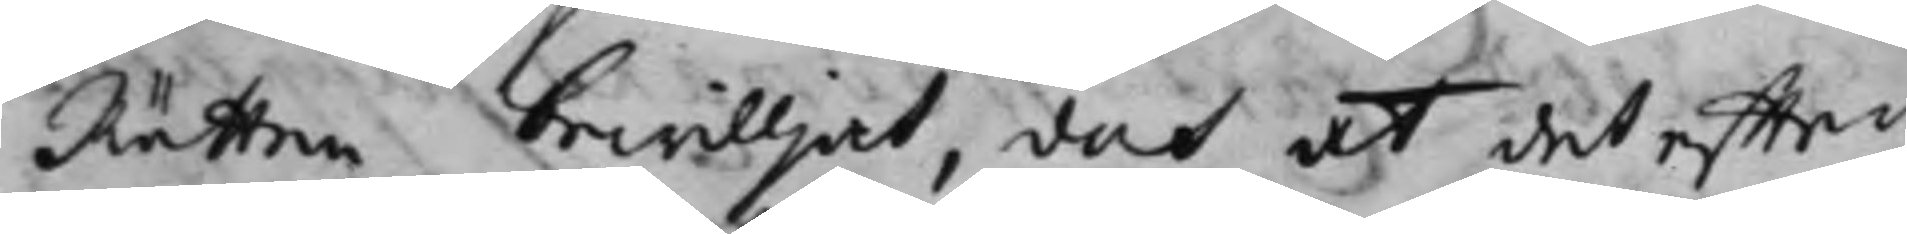Rätten bewilljat, doch at det effter
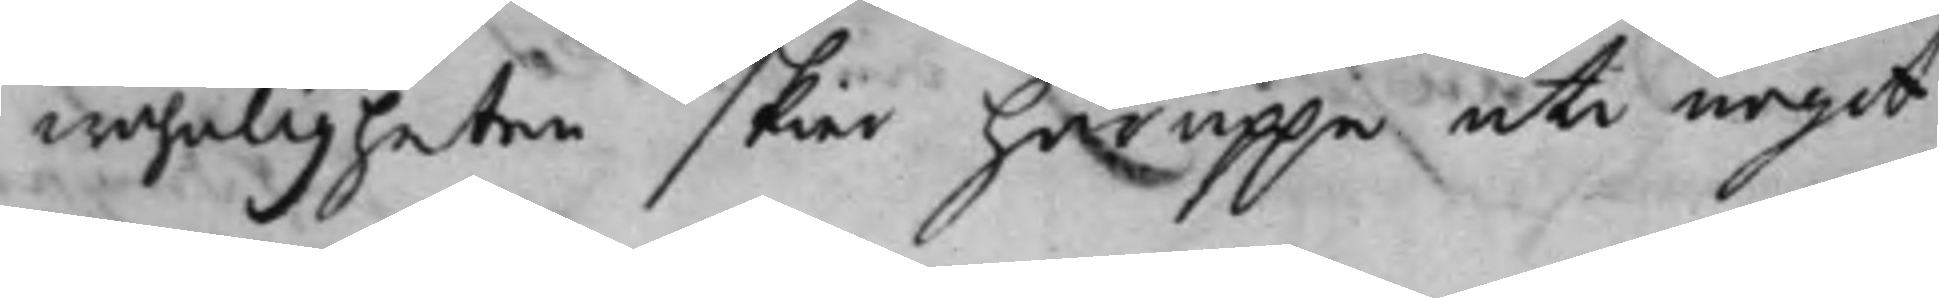wahnligheten skier häruppe uti något
